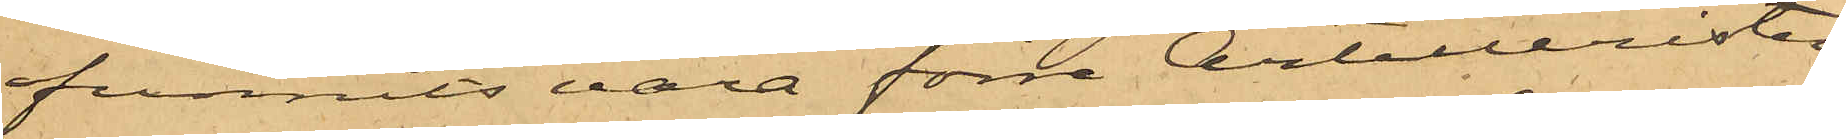funnits vara förre Artilleristen
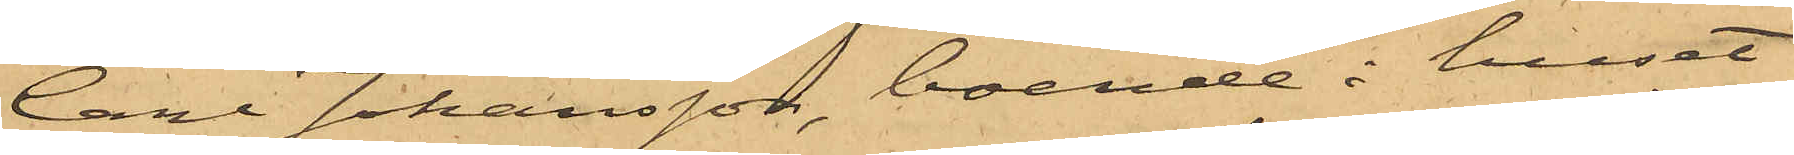Carl Johansson, boende i huset
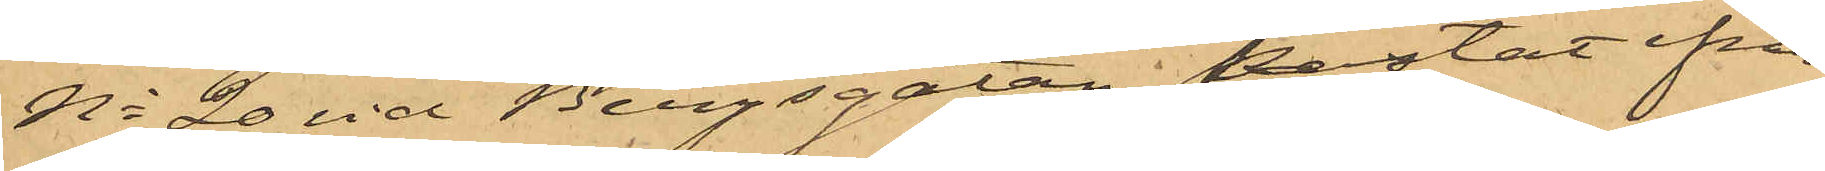No 20 vid Bergsgatan, kastat ifrån
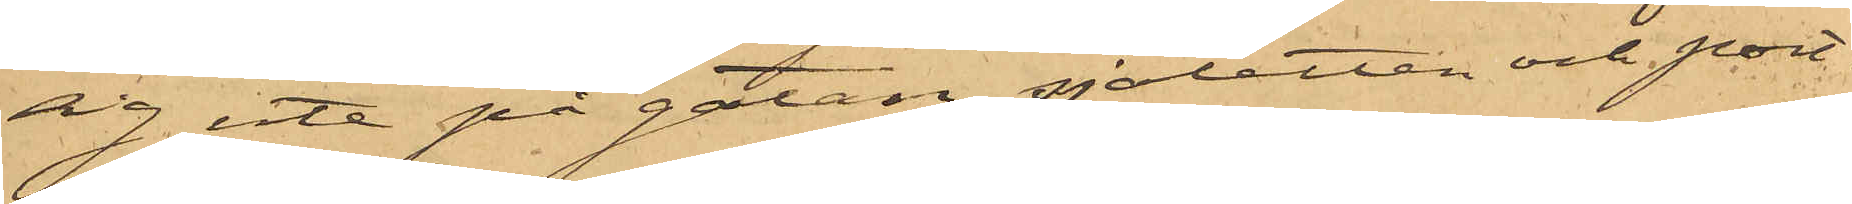sig ute på gatan sjaletten och port¬
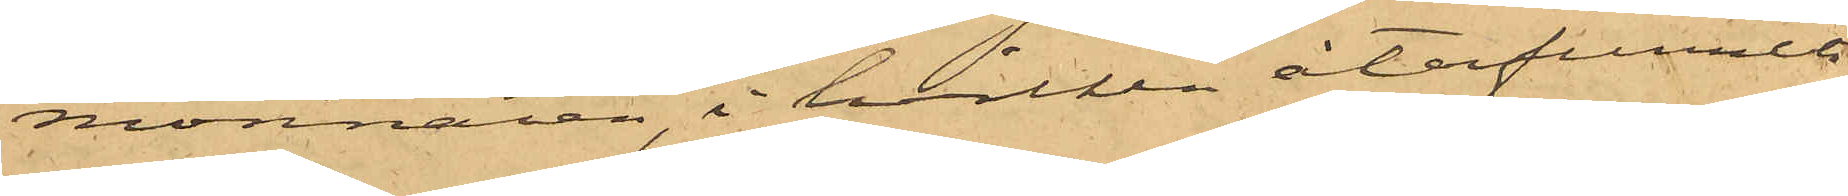monnaien, i hvilken återfunnits
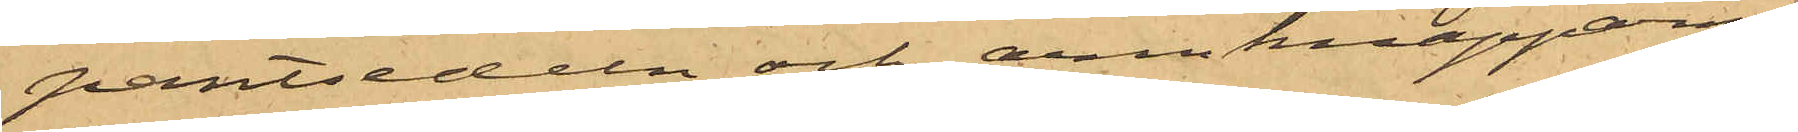pantsedeln och armknapparne.
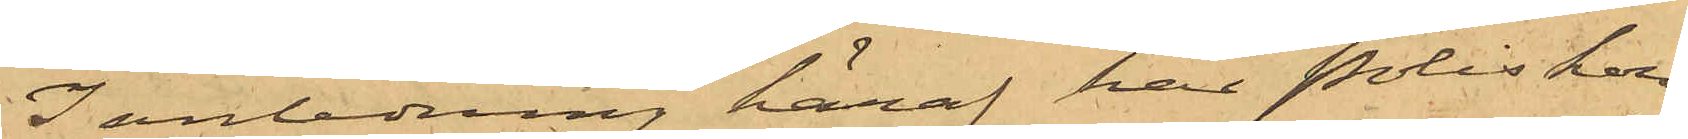I anledning häraf har Poliskon¬
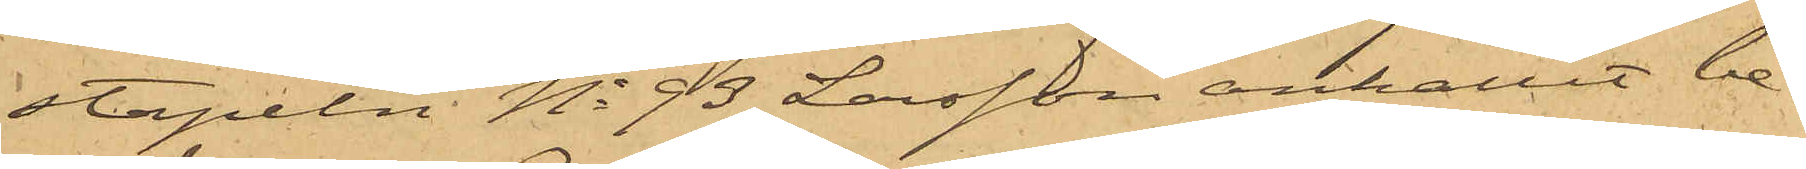stapeln No 93 Larsson anhållit be¬
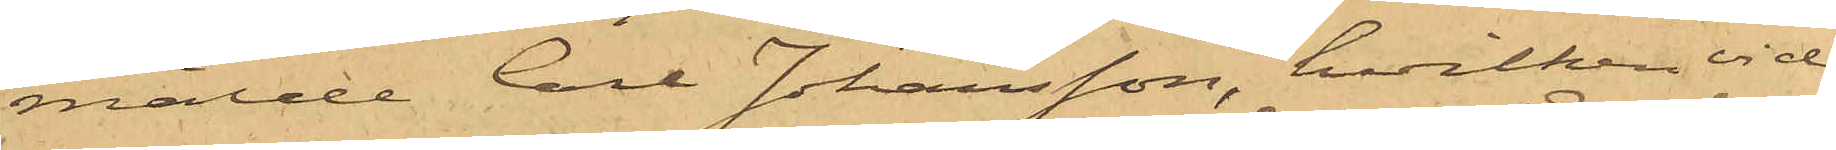mälde Carl Johansson, hvilken vid
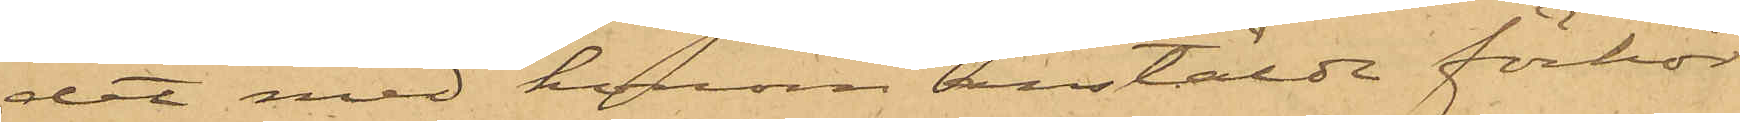det med honom anstälde förhör
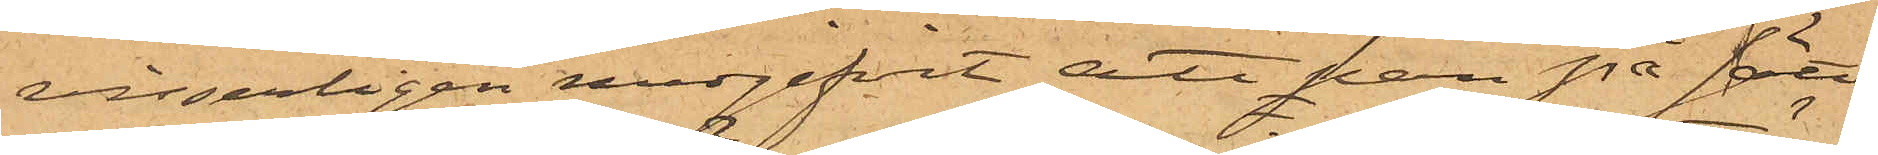visserligen medgifvit, att han på sätt
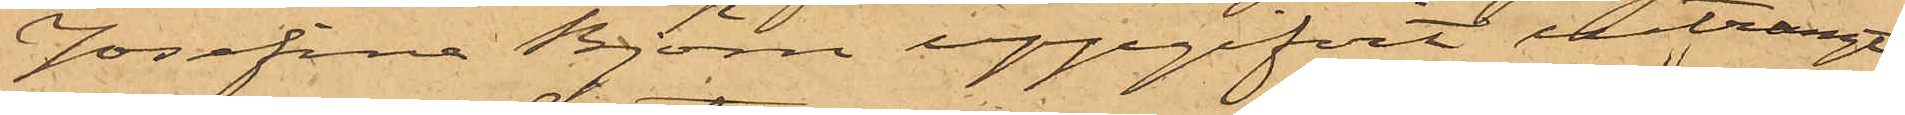Josefina Björn uppgifvit inträngt
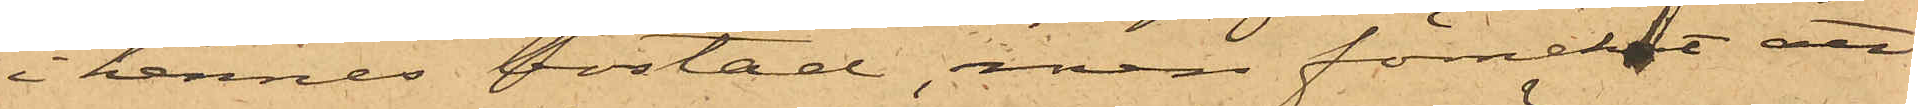i hennes bostad, men förnekat att
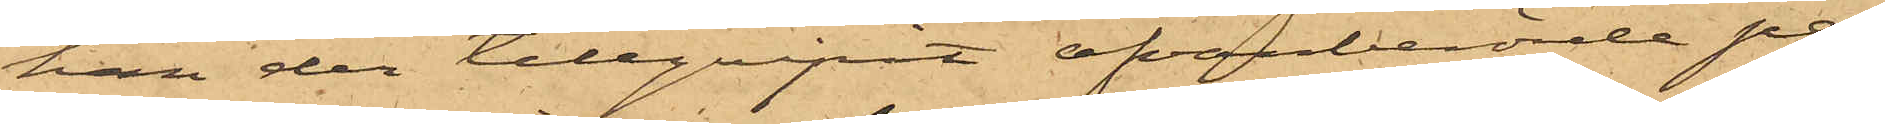han der tillgripit ofvanberörde per¬
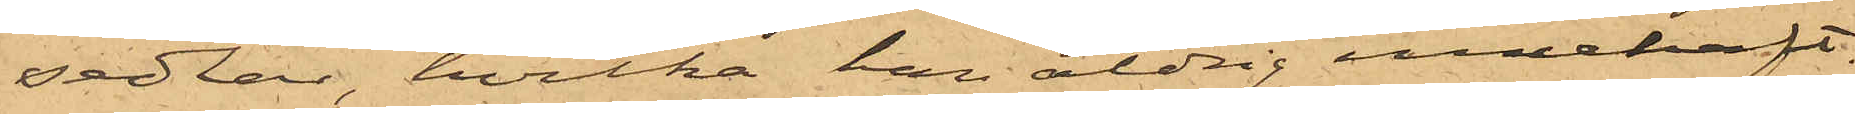sedlar, hvilka han aldrig innehaft.
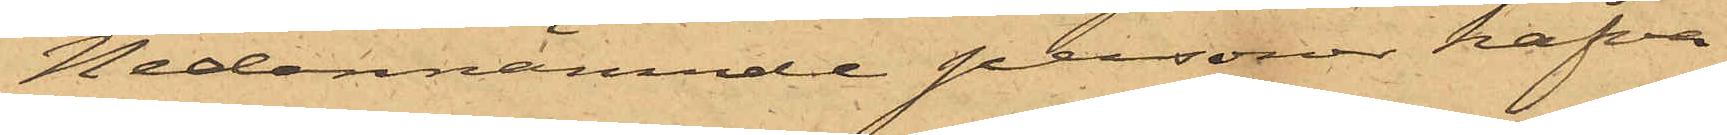Nedannämnde personer hafva
